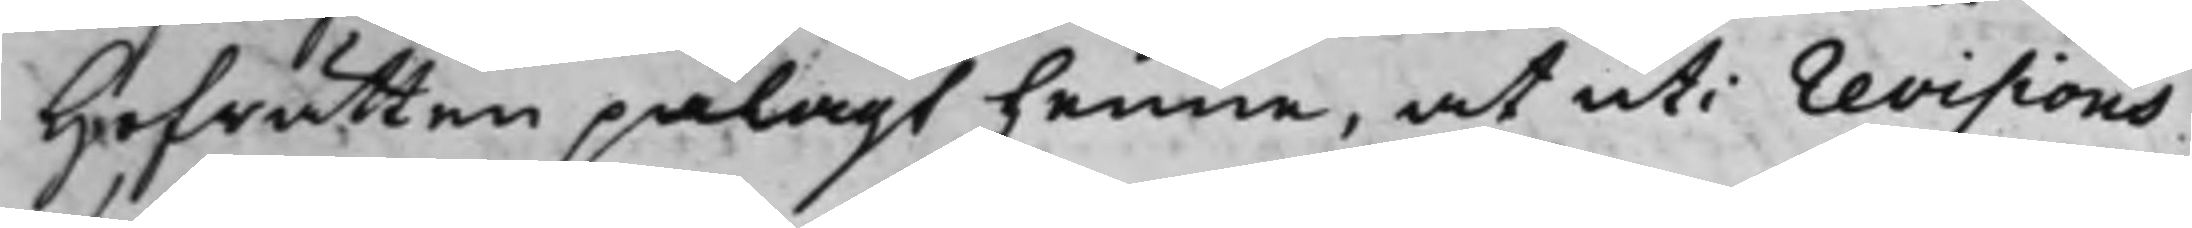Hofrätten pålagt henne, at uti Revisions¬
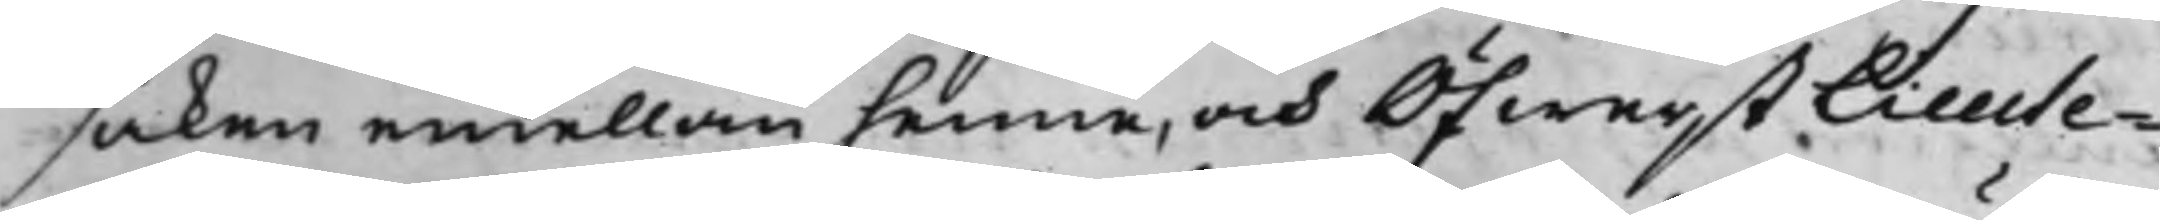saken emellan henne, och ÖfwerstLieute¬
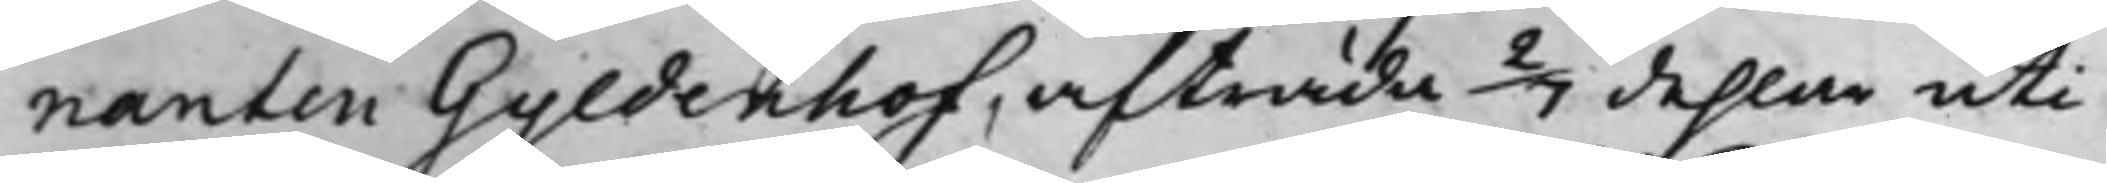nanten Gyldenhof, afträda 2/7 dehlar uti
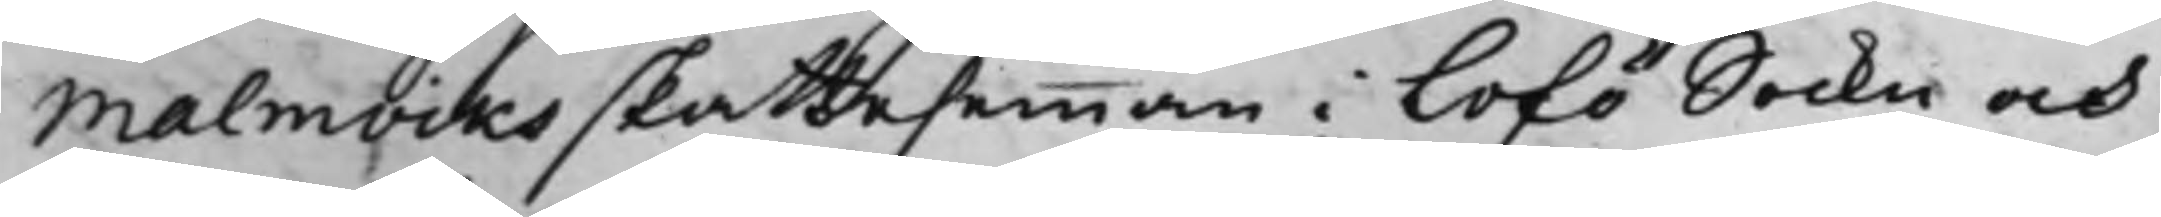Malmviks skattehemman i Lofö Sockn och
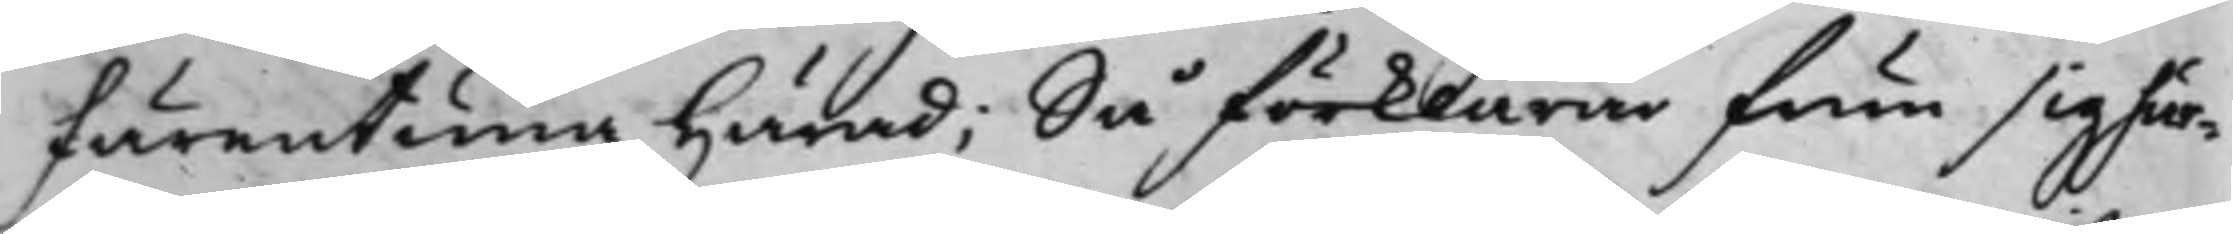Färentuna härad; Så förklarar frun sig här¬
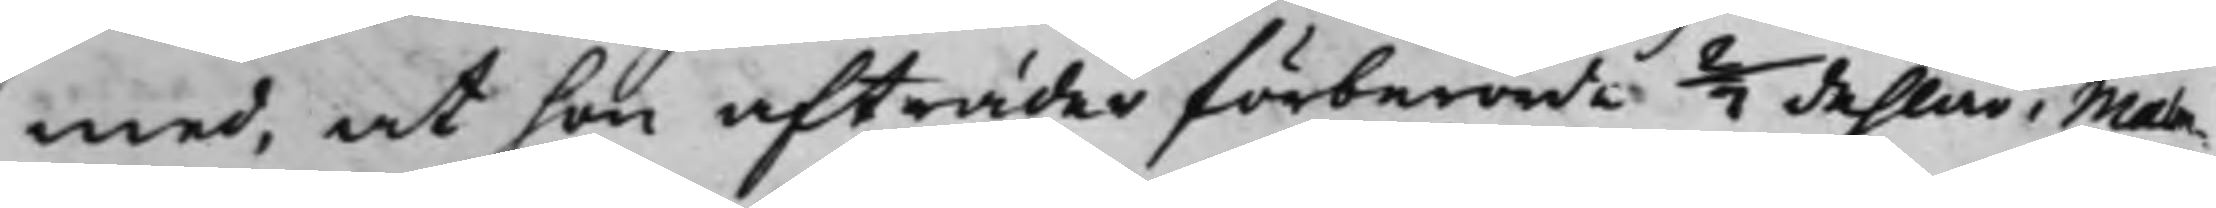med, at hon afträder förberörde 2/7 dehlar i Malm¬
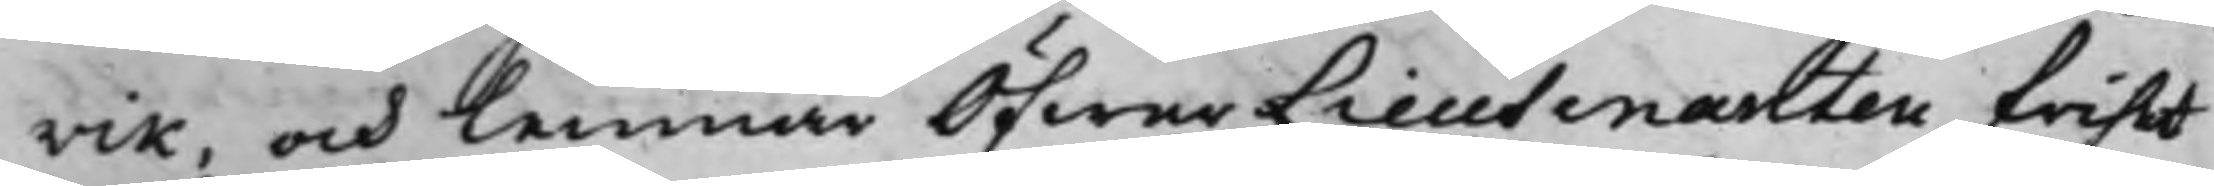vik, och lemnar Öfwer Lieutenanten frihet
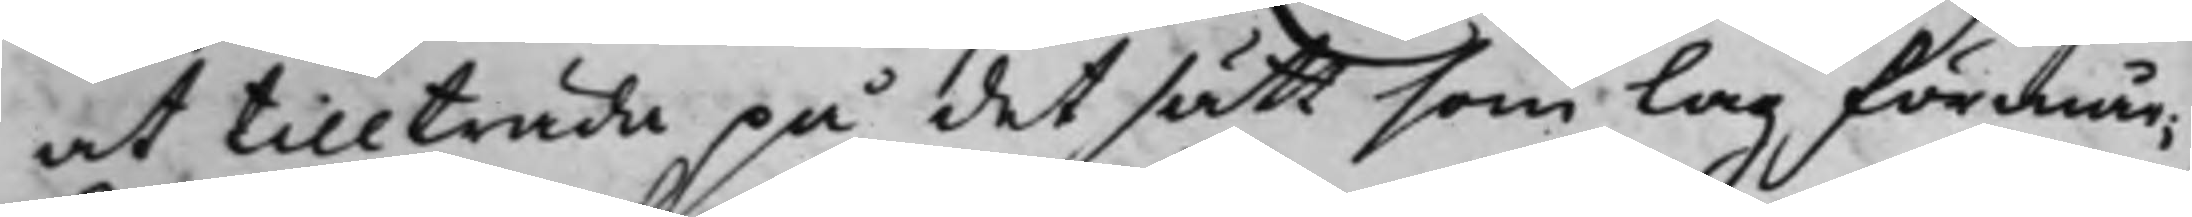at tillträda på det sätt som Lag förmår,
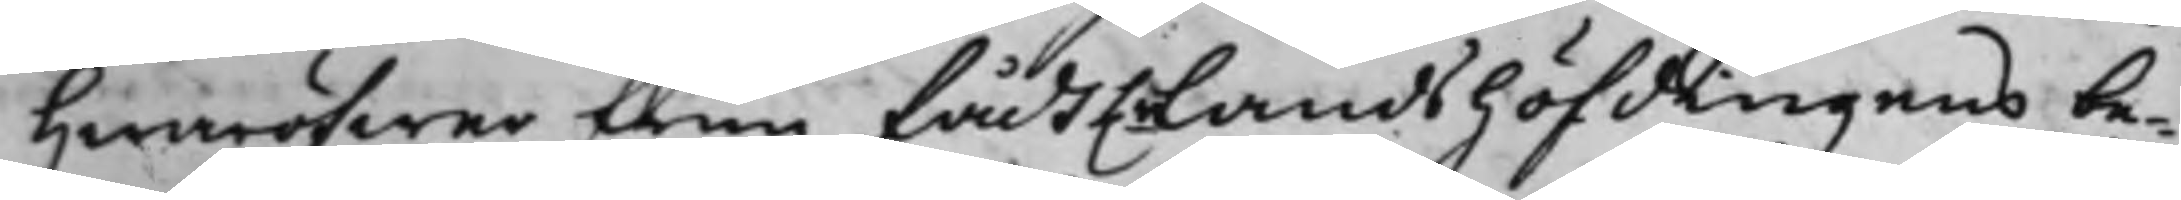hwaröfwer frun fådt h.r Landshöfdingens be¬
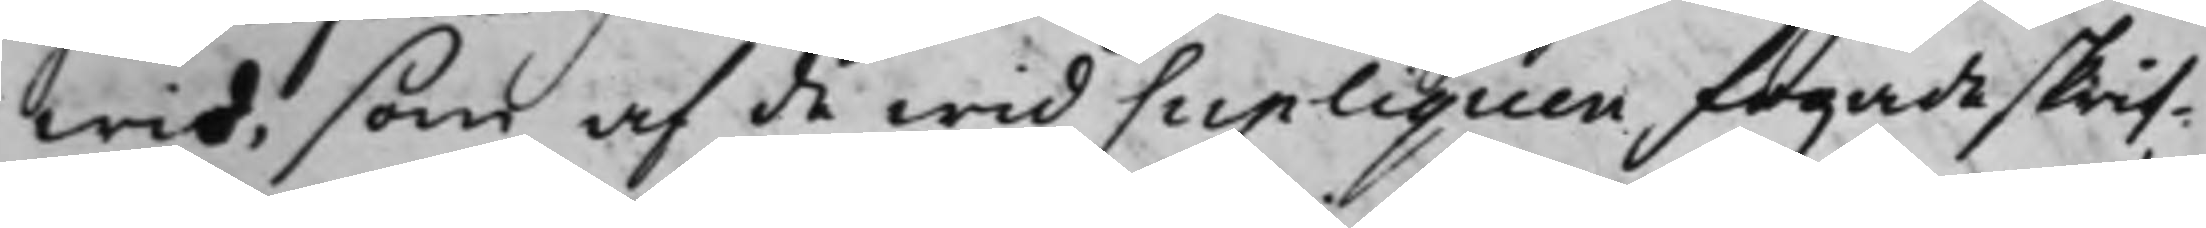wis, som af de wid Supliquen fogade skrif¬
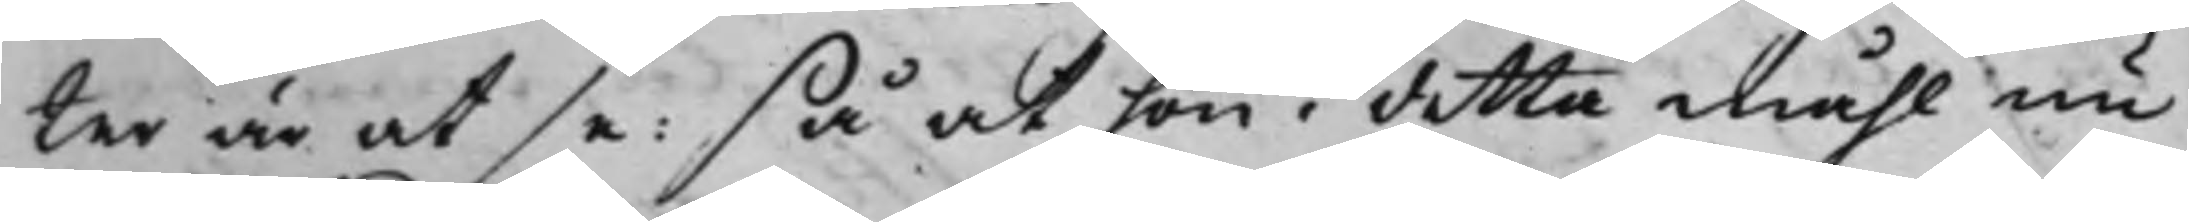ter är at se: så at hon i detta måhl nu
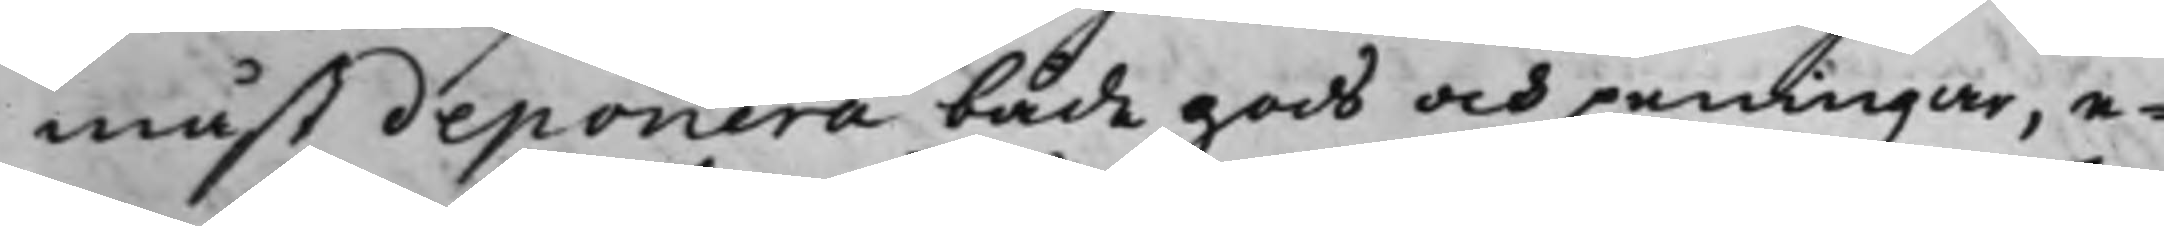måst deponera både gods och peningar, e¬
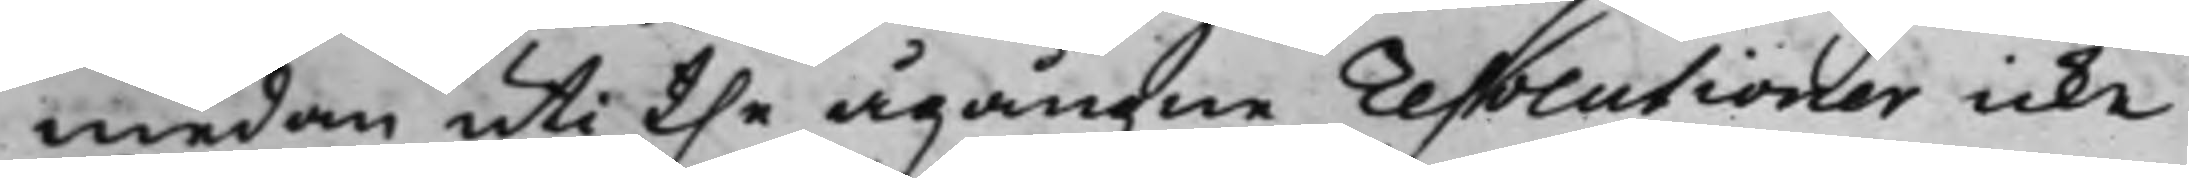medan uti the ågångne Resolutioner icke
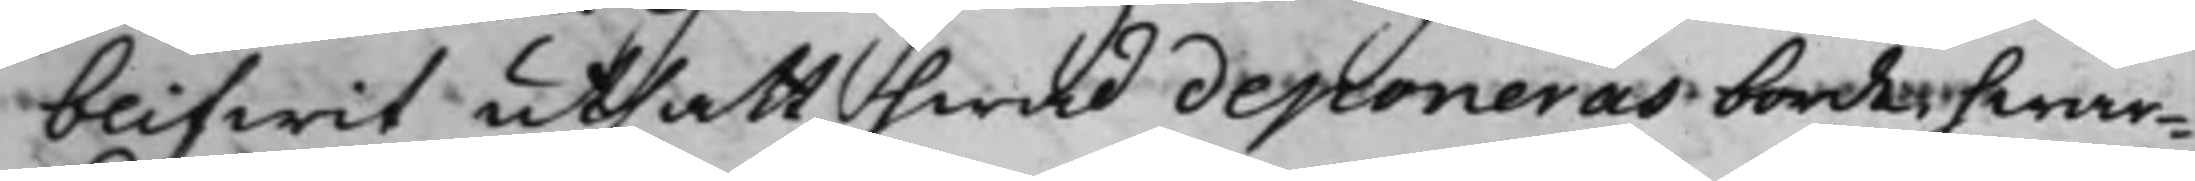blifwit utsatt hwad deponeras borde, hwar¬
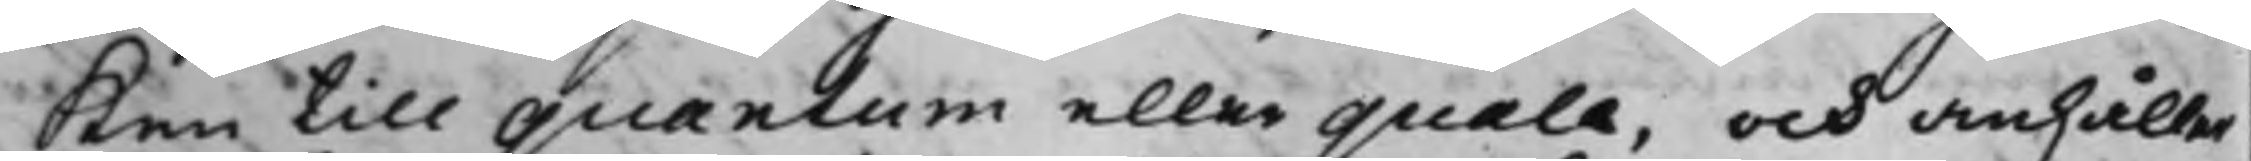ken till quantum eller quale, och anhåller
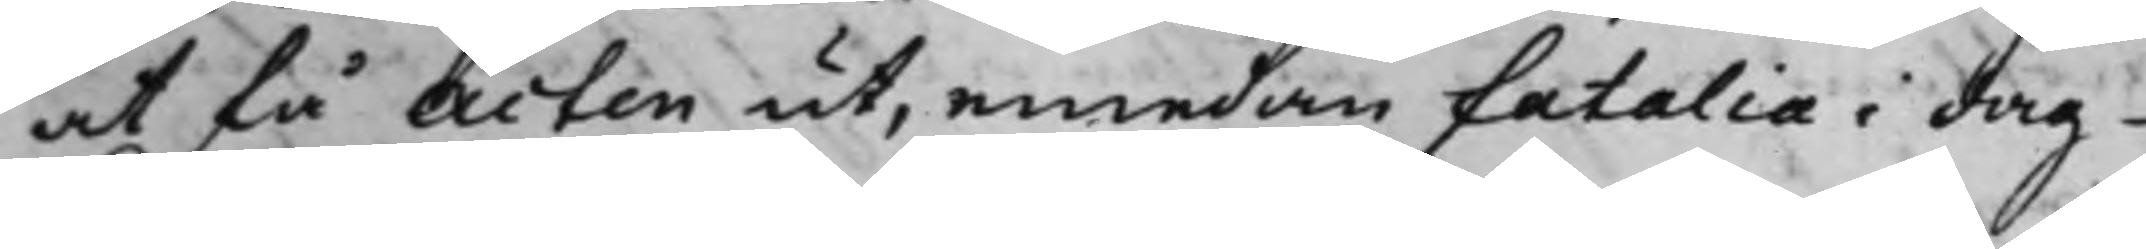at få Acten ut, emedan fatalia i dag
